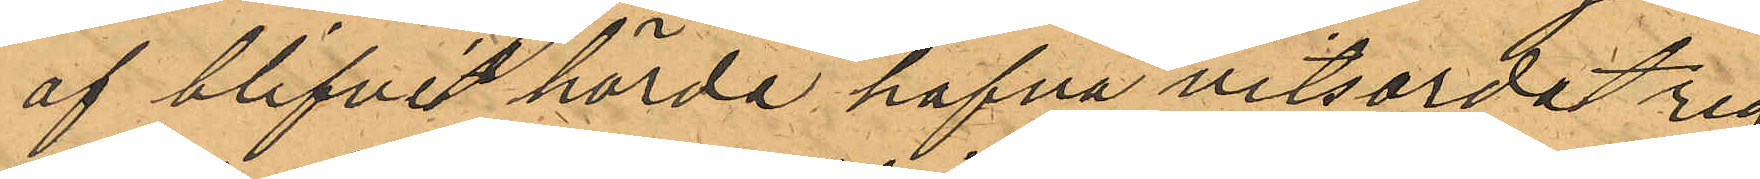af blifvit hörda hafva vitsordat rig¬
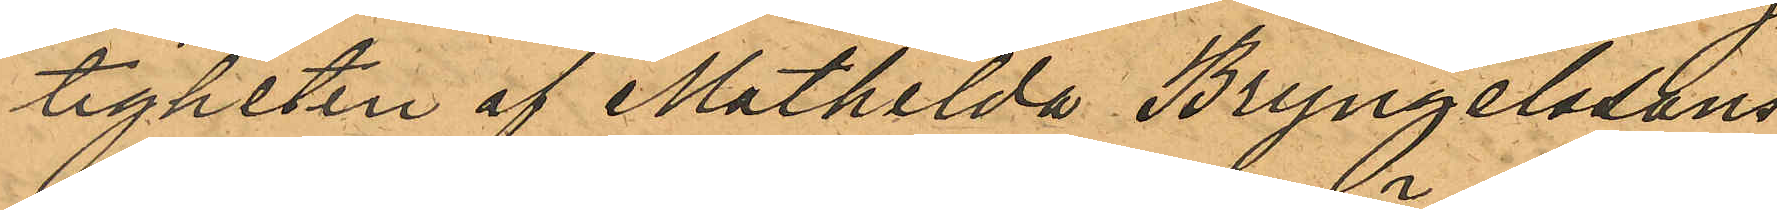tigheten af Mathilda Bryngelssons
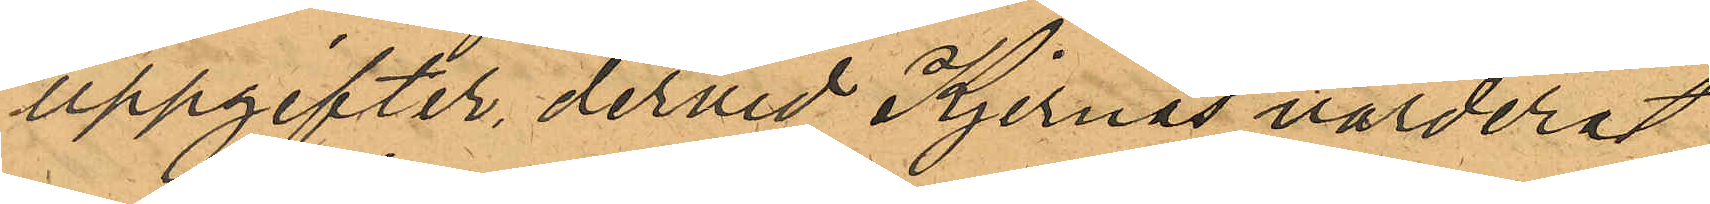uppgifter, dervid Kjernås värderat
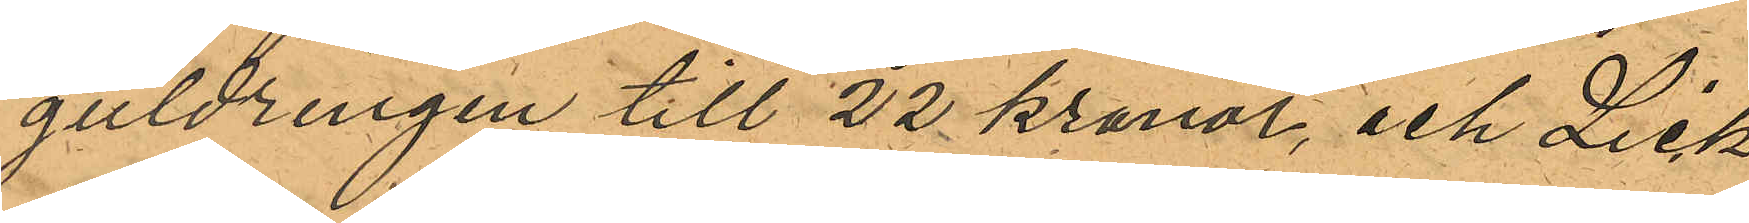guldringen till 22 kronor, och Lick¬
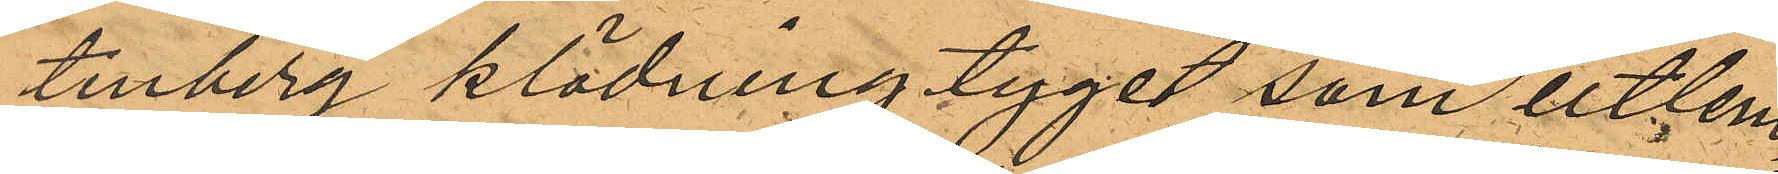tenberg klädningtyget som utlem¬
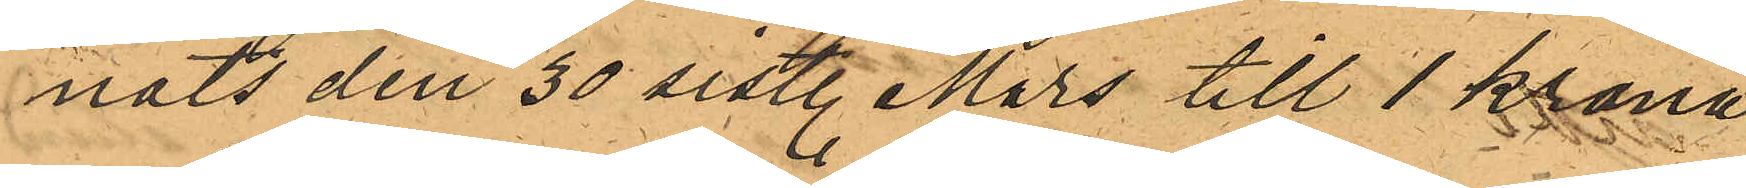nats den 30 sistl. Mars till 1 krona
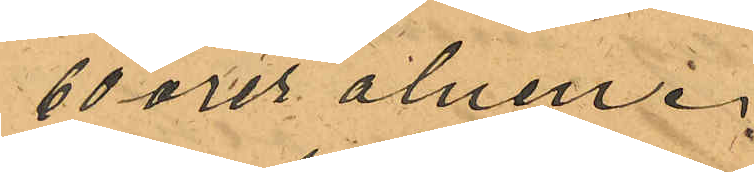60 örer alnen.
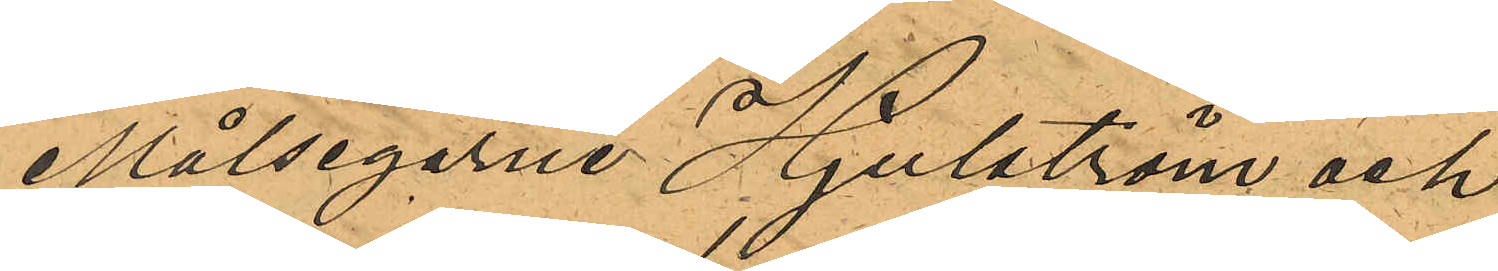Målsegarne Hjulström och
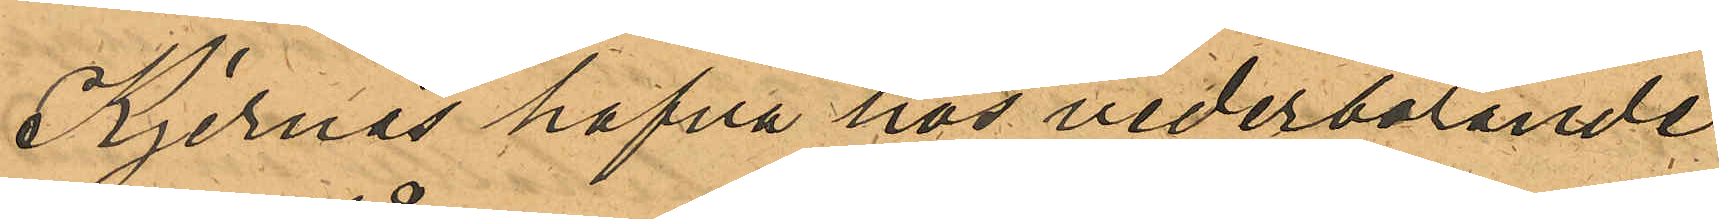Kjernås hafva hos vederbörande
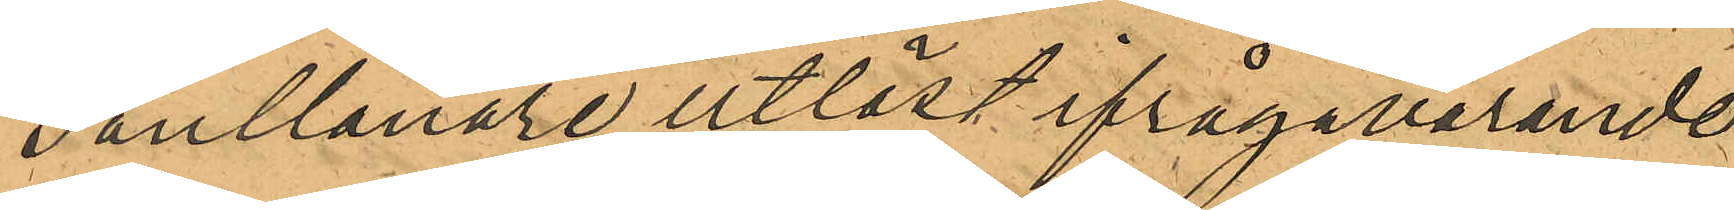Pantlånare utlöst ifrågavarande
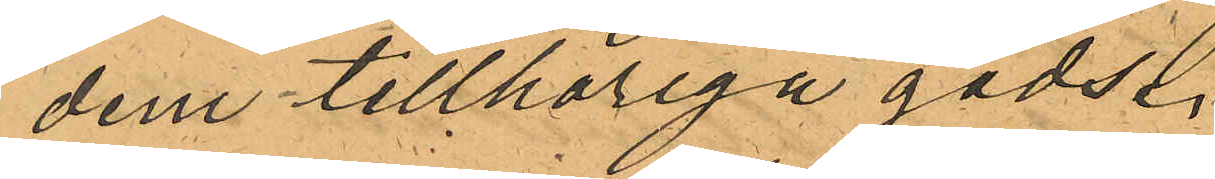dem tillhöriga gods.
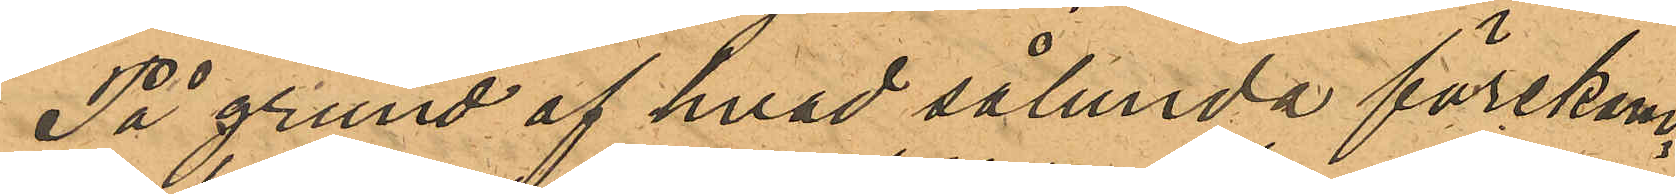På grund af hvad sålunda förekom¬
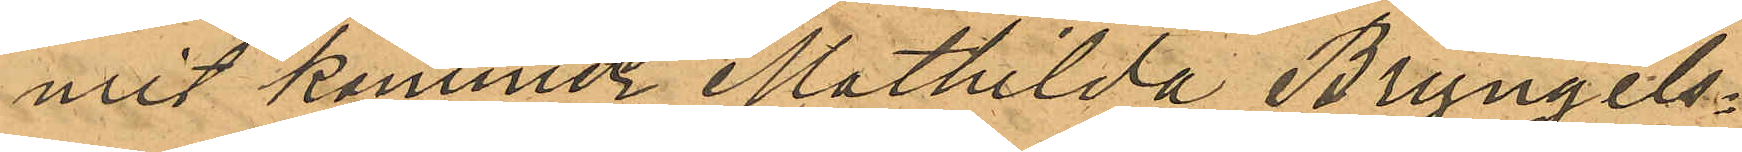mit komer Mathilda Bryngels¬
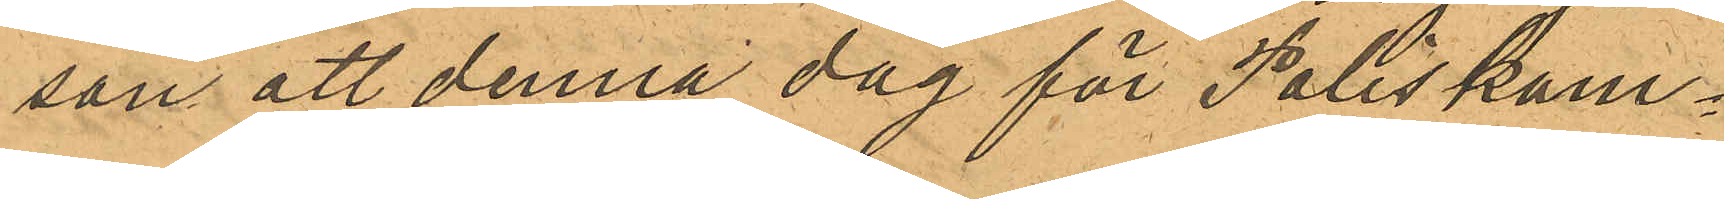son att denna dag för Poliskam¬
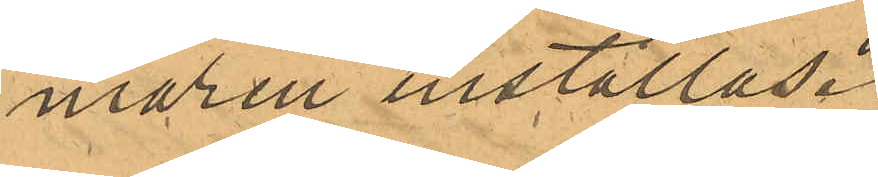maren inställas.
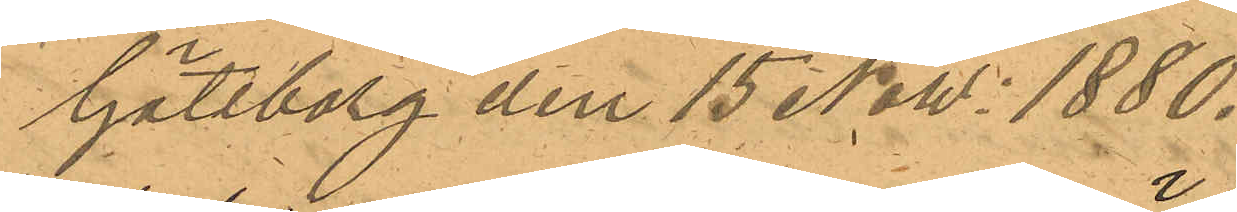Göteborg den 15 Now. 1880.
